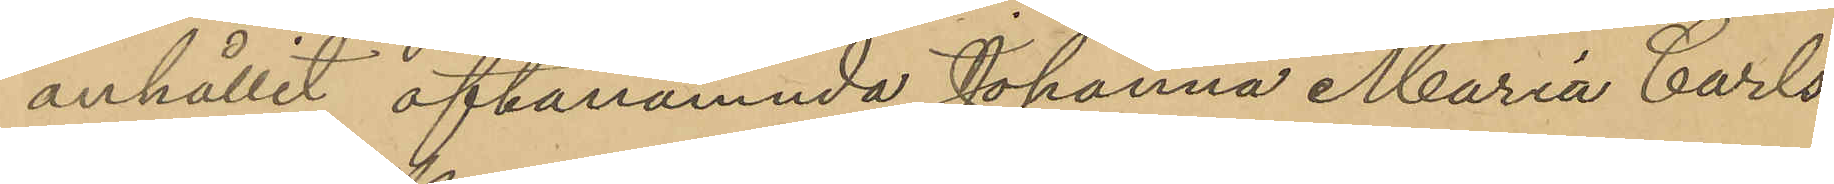anhållit oftanämnda Johanna Maria Carls¬
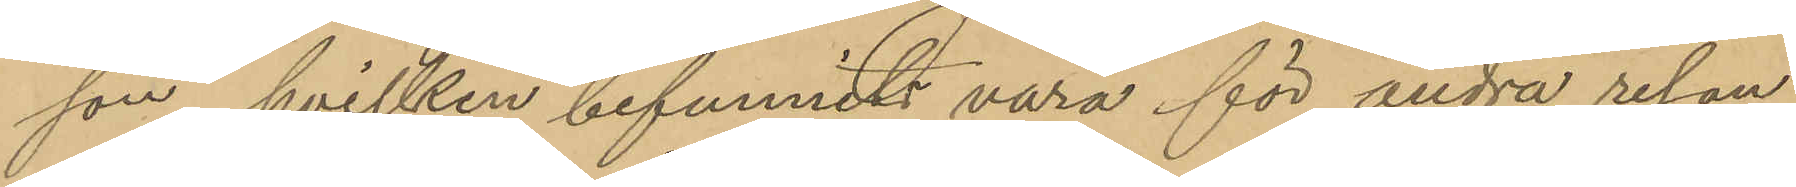son, hvilken befunnits vara för andra resan
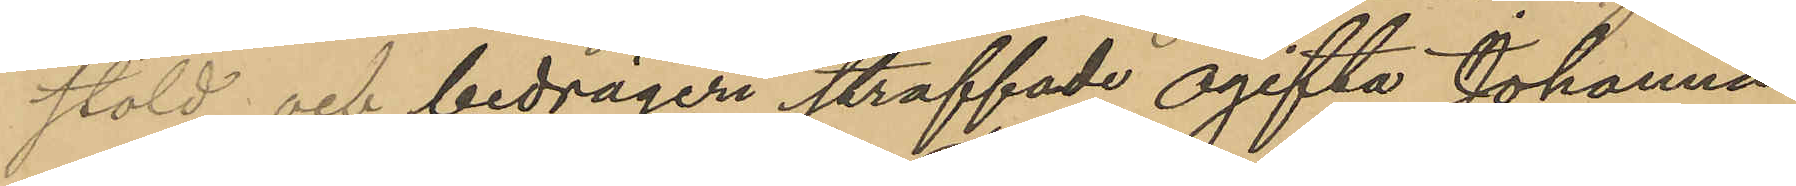stöld och bedrägeri straffade ogifta Johanna
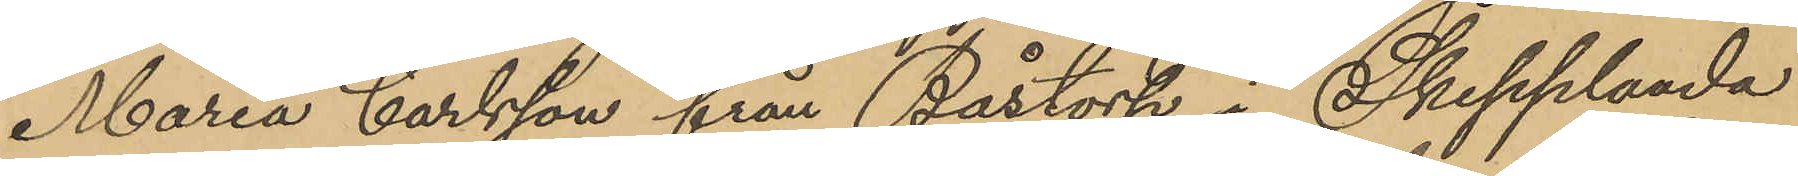Maria Carlsson från Båstorp i Skepplanda
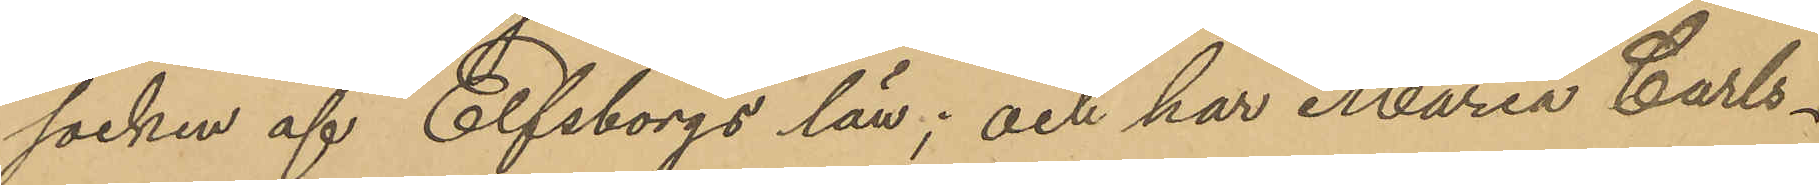socken af Elfsborgs län; och har Maria Carls¬
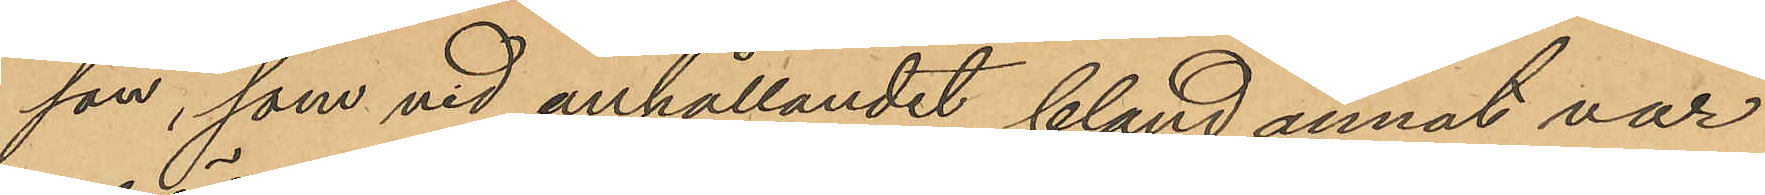son, som vid anhållandet bland annat var
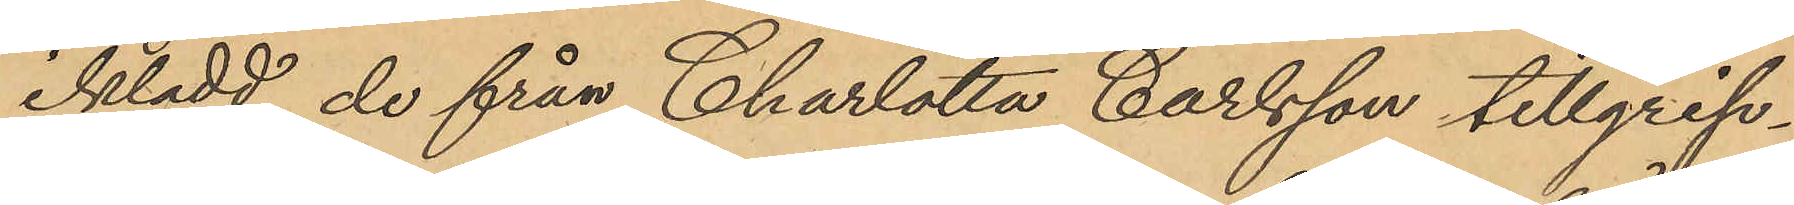iklädd de från Charlotta Carlsson tillgrip¬
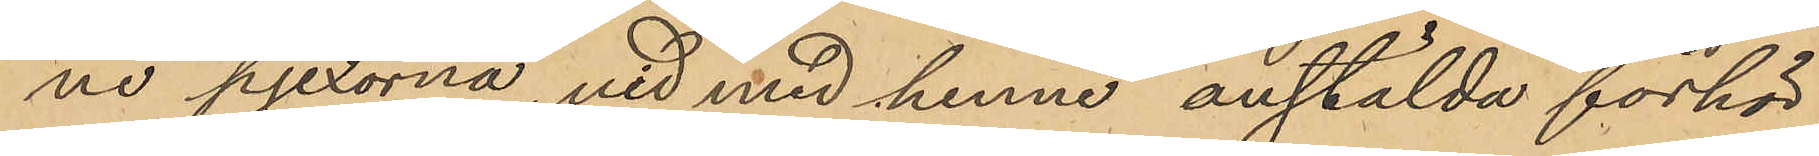ne pjexorna, vid med henne anstälda förhör
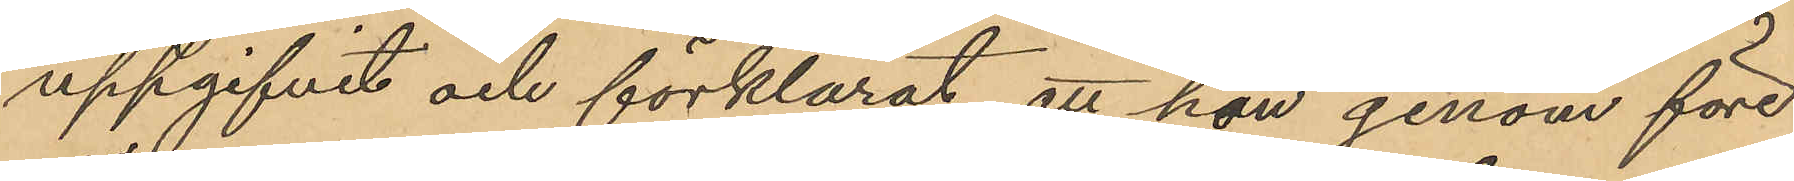uppgifvit och förklarat, att hon genom före¬
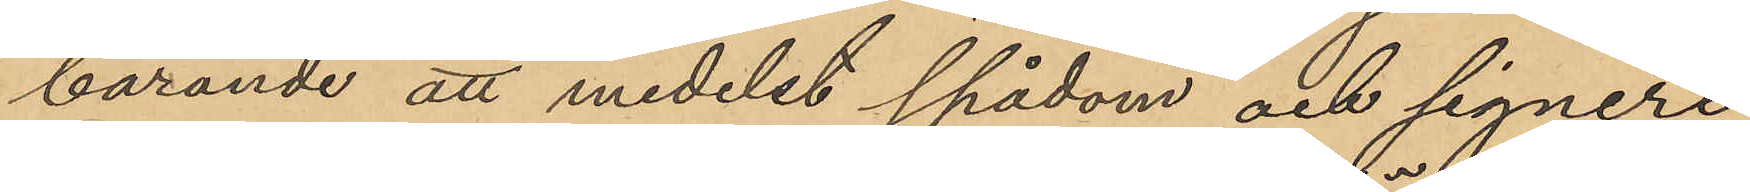bärande att medelst spådom och signeri
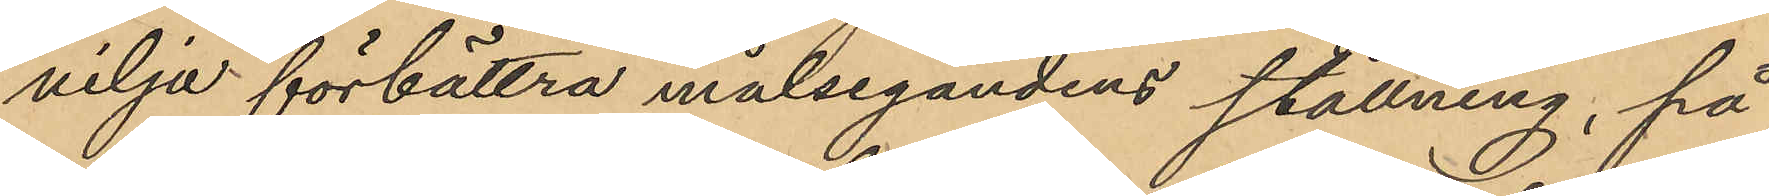vilja förbättra målsegandens ställning, på
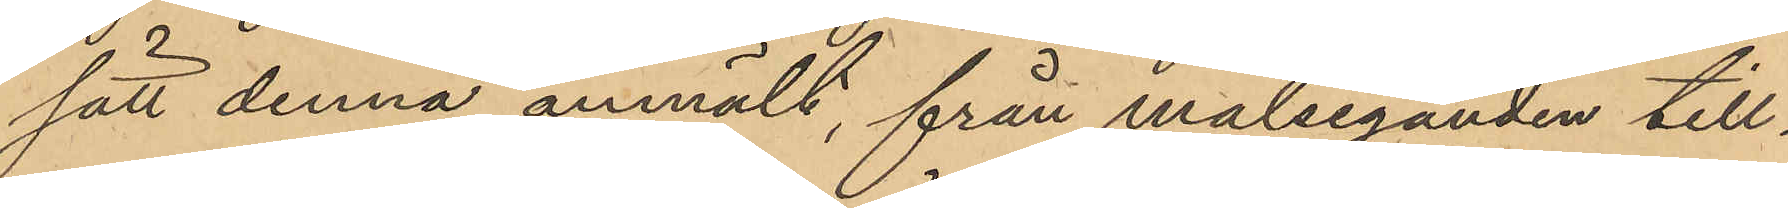sätt denna anmält, från målseganden till¬
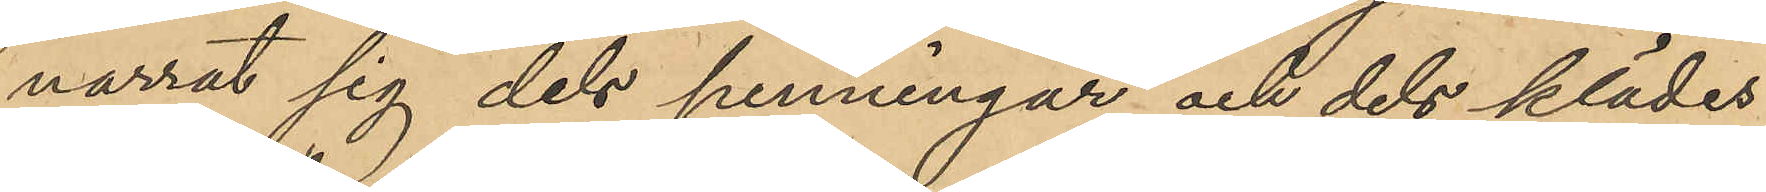narrat sig dels penningar och dels klädes¬
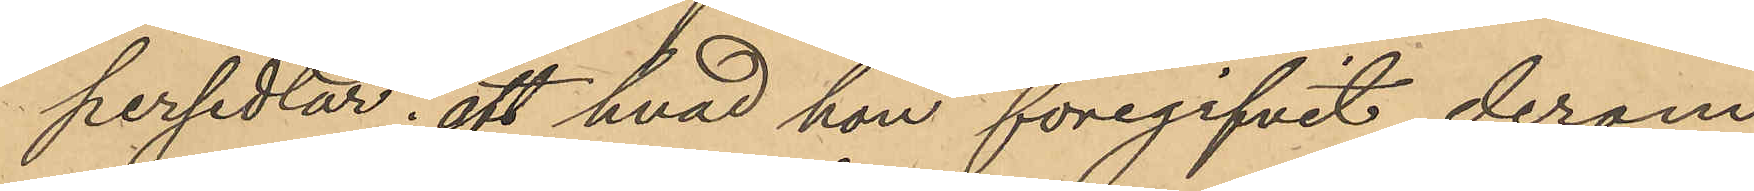persedlar; att hvad hon föregifvit derom
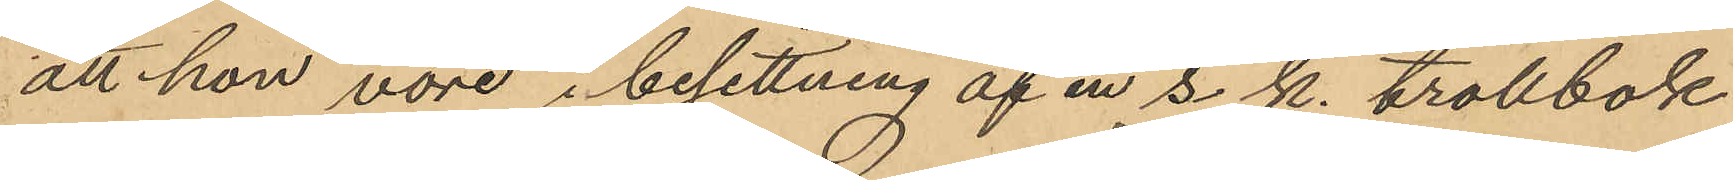att hon vore i besittning af en s. k. trollbok
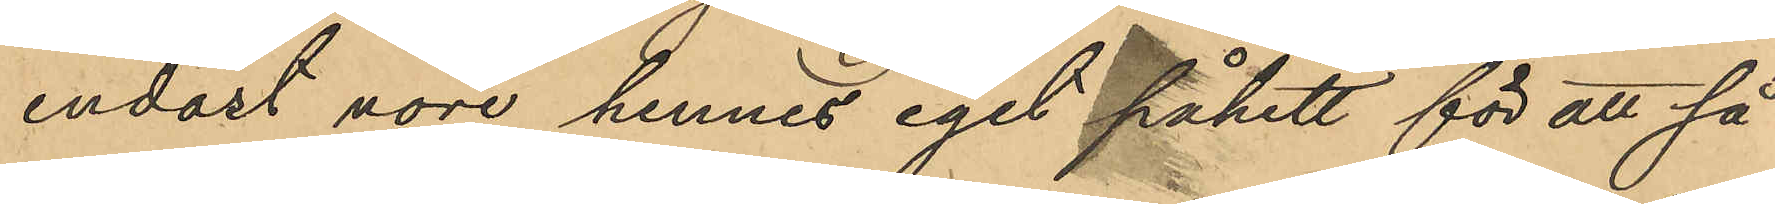endast vore hennes eget påhitt för att så
